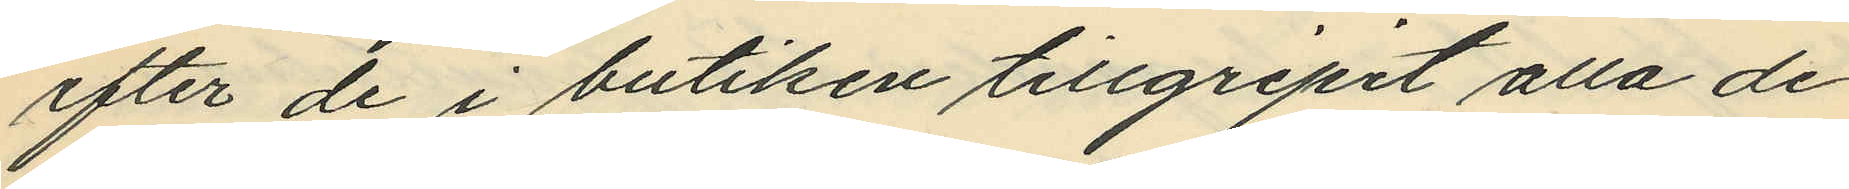efter de i butiken tillgripit alla de
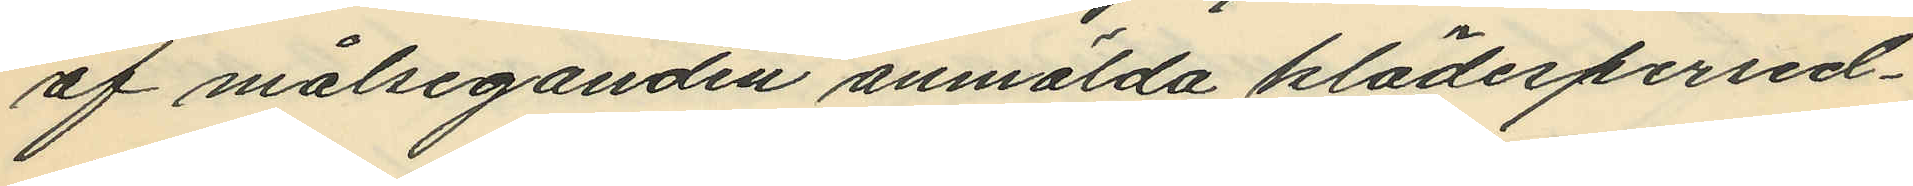af målseganden anmälda klädespersed¬
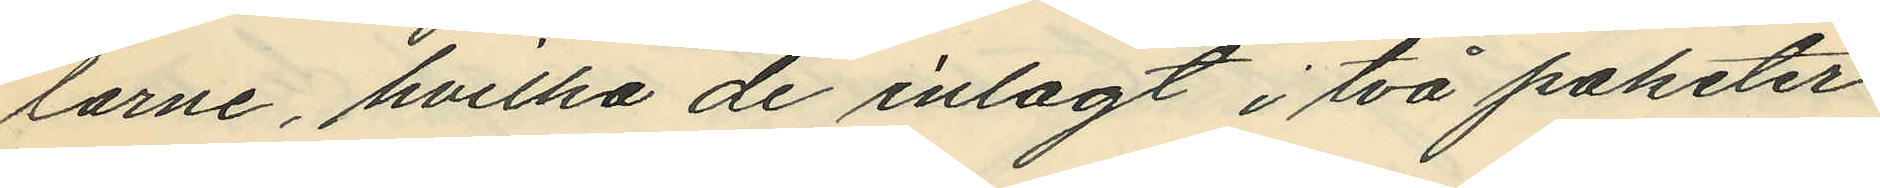larne, hvilka de inlagt i två paketer
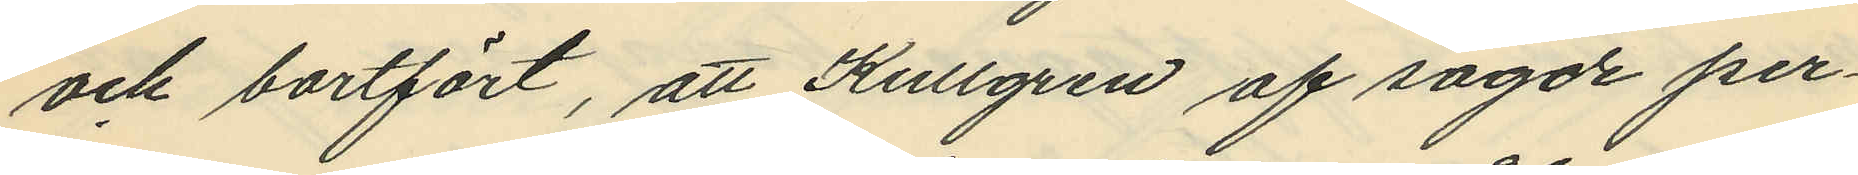och bortfört, att Kullgren af sagde per¬
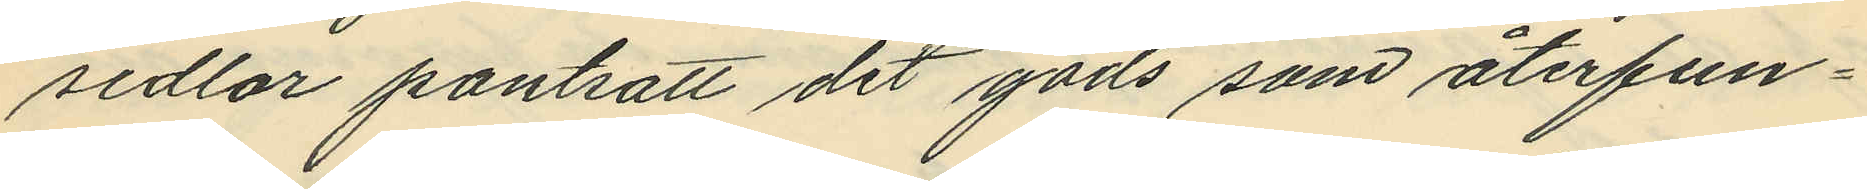sedlar pantsatt det gods som återfun¬
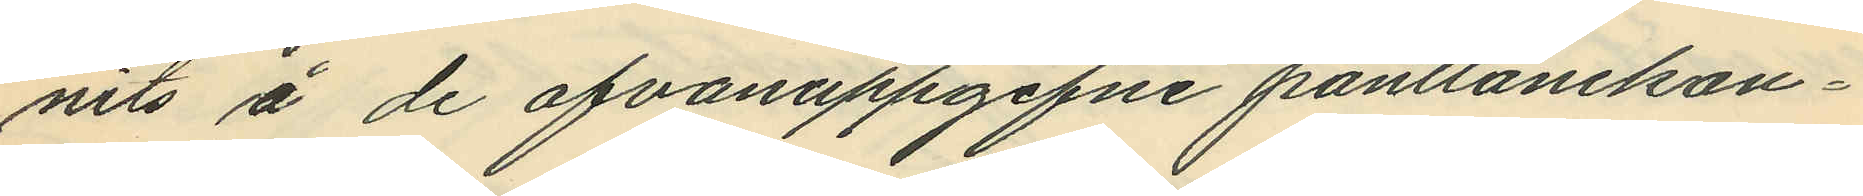nits å de ofvanuppgifne pantlånekon¬
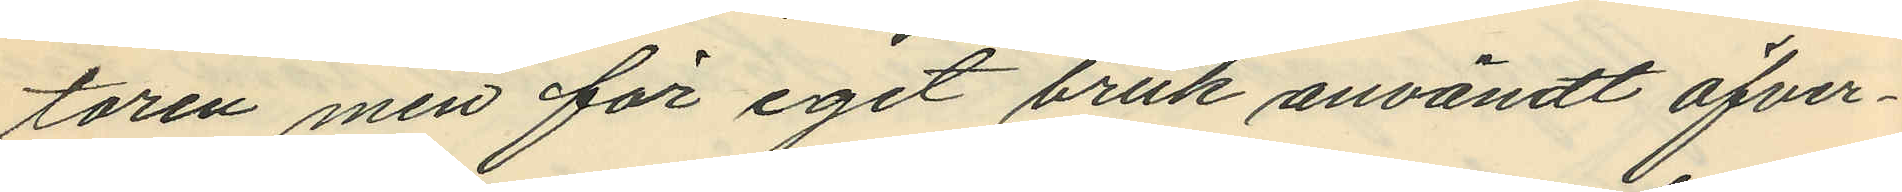toren men för eget bruk användt öfver¬
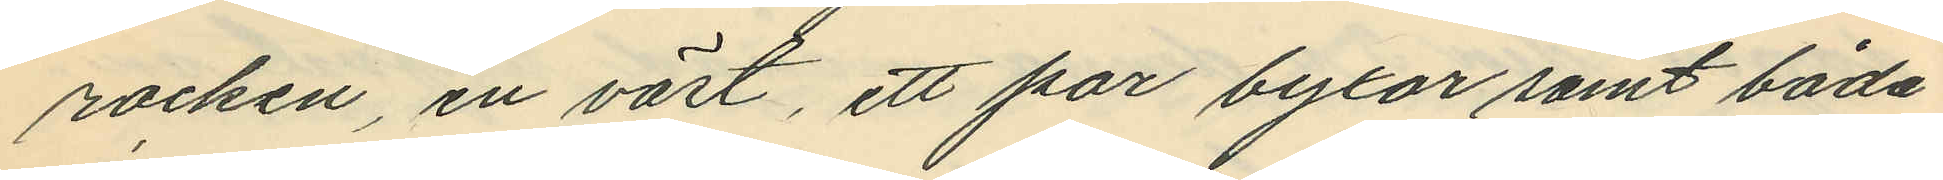rocken, en väst, ett par byxor samt båda
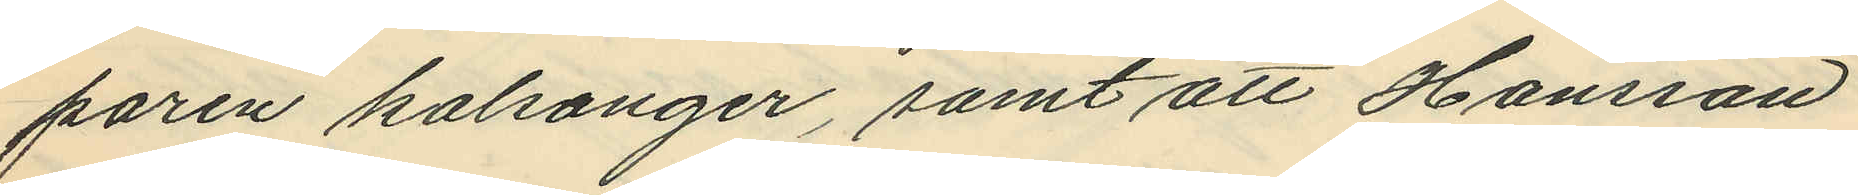paren kalsonger, samt att Hansson
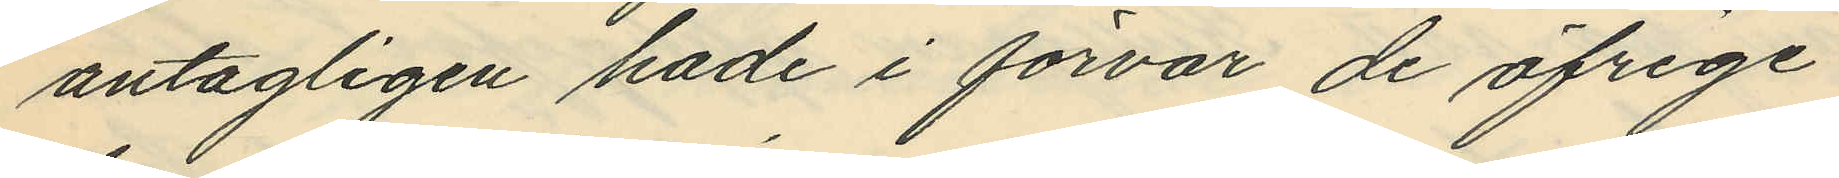antagligen hade i förvar de öfrige
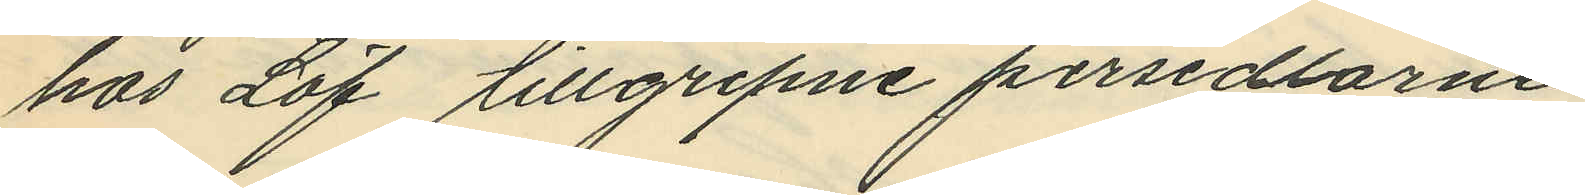hos Löf tillgripne persedlarne.
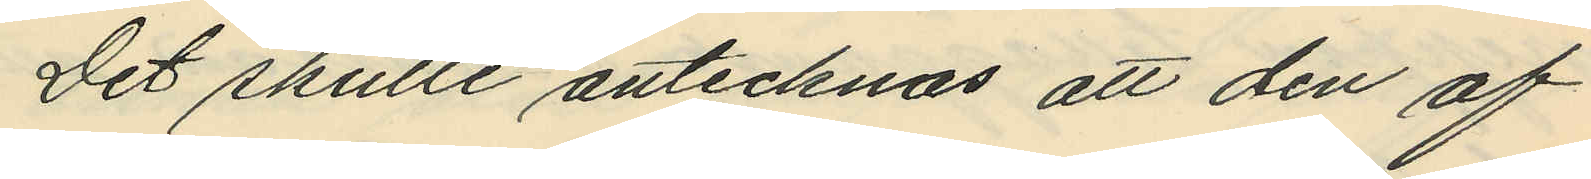Det skulle antecknas att den af
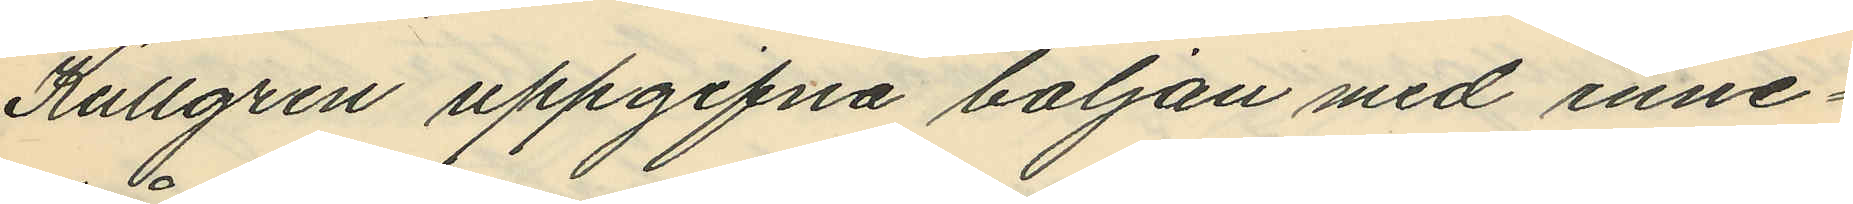Kullgren uppgifna baljan med inne¬
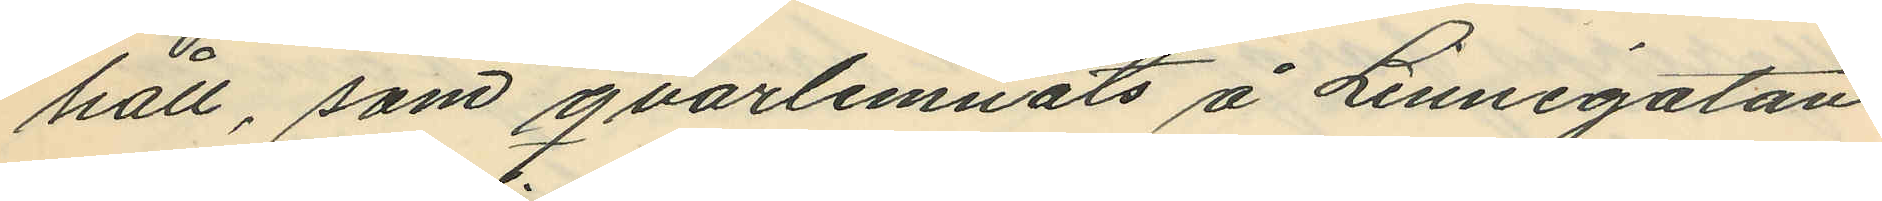håll, som qvarlemnats å Linnégatan
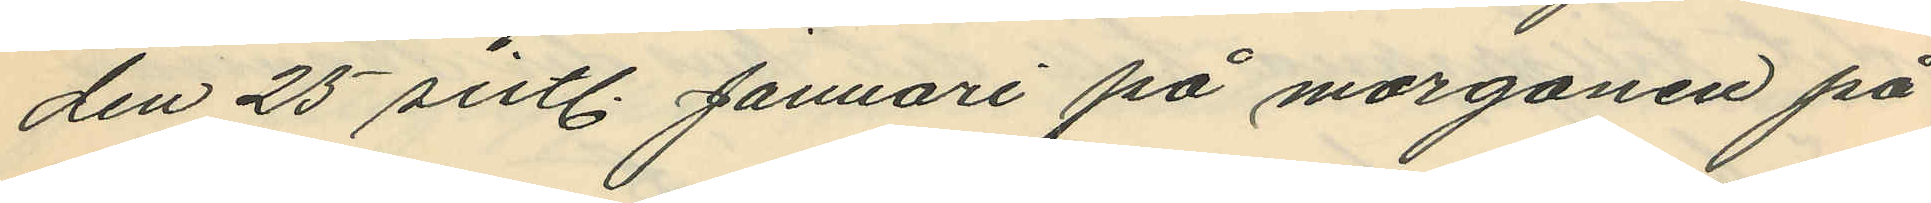den 25 sistl. Januari på morgonen på
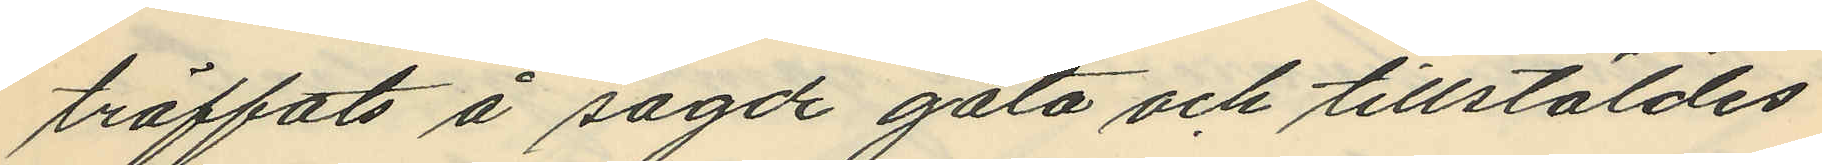träffats å sagde gata och tillstäldes
